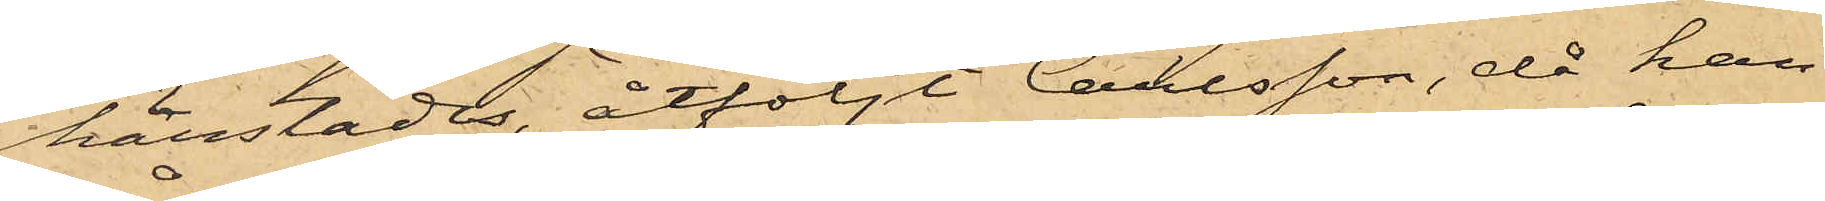härstädes, åtföljt Carlsson, då han
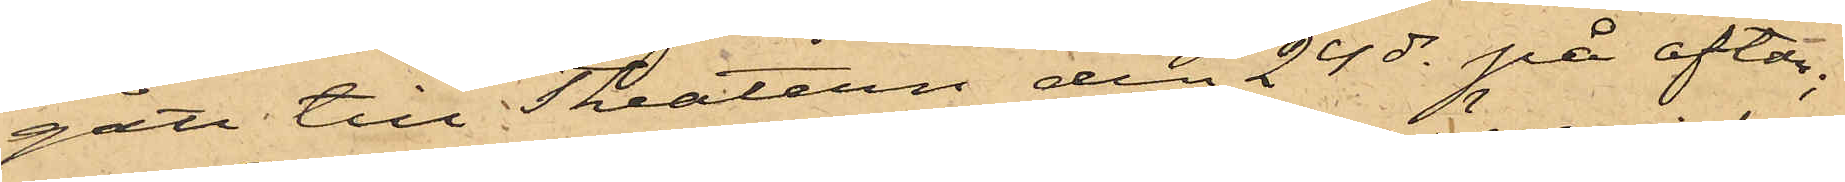gått till Theatern den 24 ds på afton;
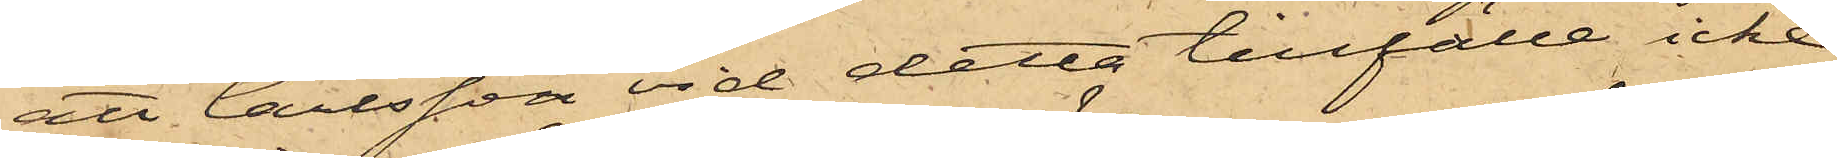att Carlsson vid detta tillfälle icke
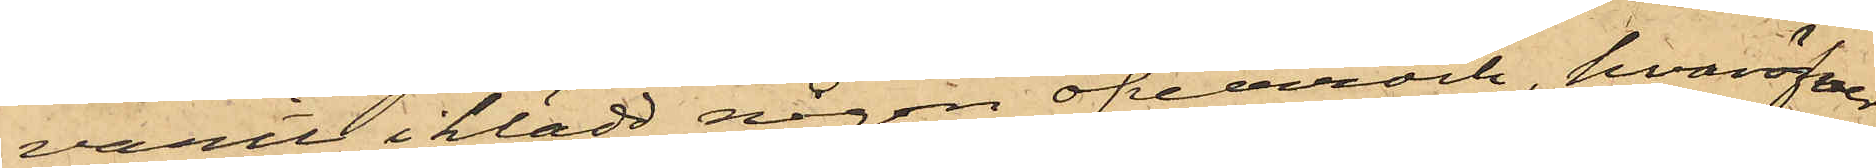varit i klädd någon öfverrock, hvaröfver
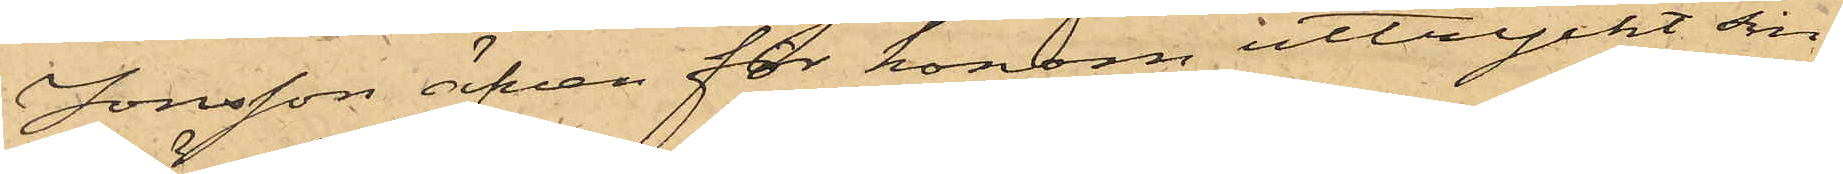Jonsson äfven för honom uttryckt sin
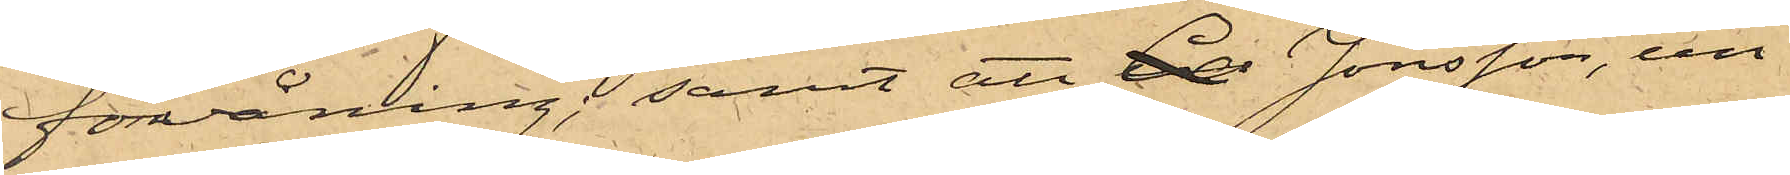förvåning; samt att Car Jonsson, un¬
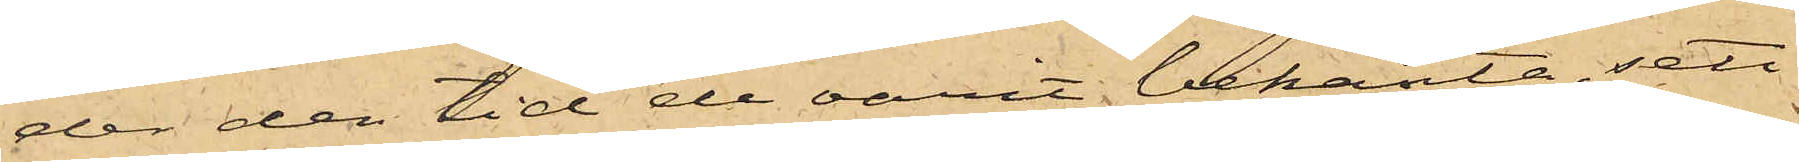der den tid de varit bekanta, sett
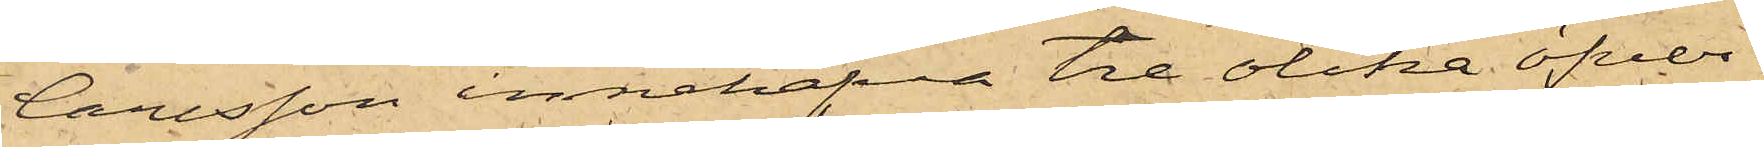Carlsson innehafva tre olika öfver¬
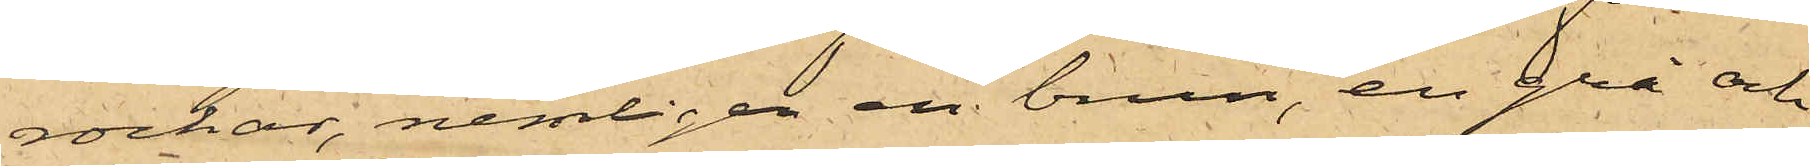rockar, nemligen en brun, en grå och
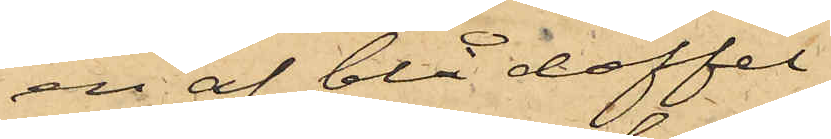en af blå doffel;
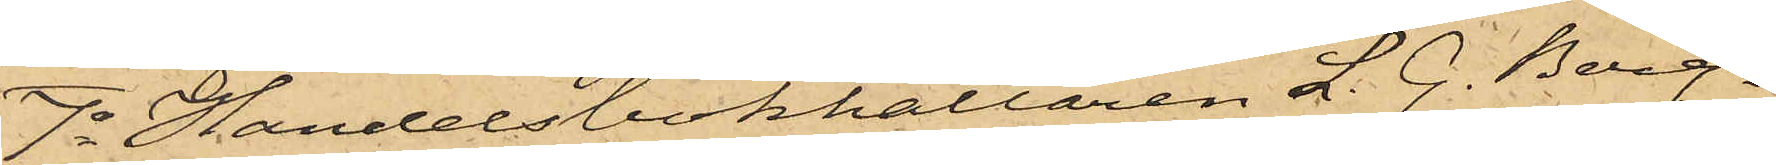7o Handelsbokhållaren L. G. Berg¬
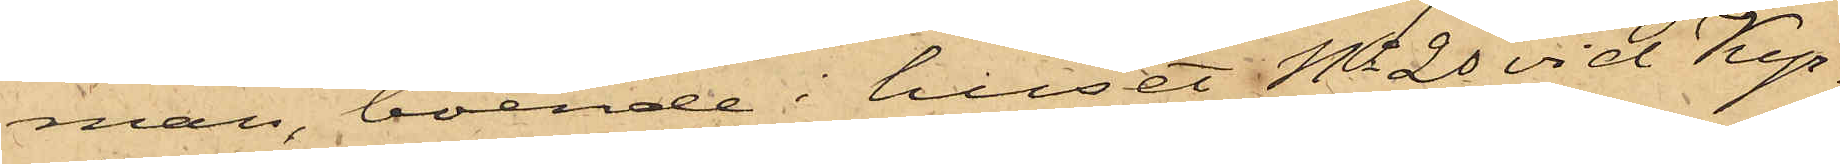man, boende i huset No 20 vid Kyr¬
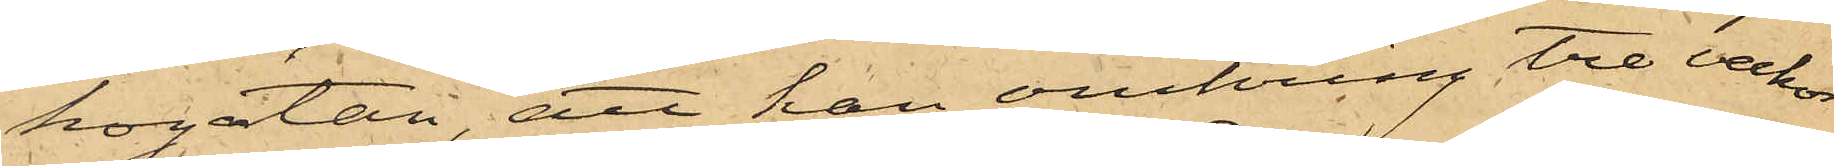kogatan, att han omkring tre veckor
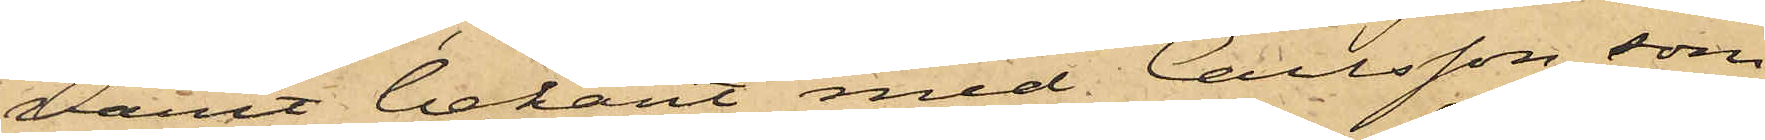varit bekant med Carlsson, som
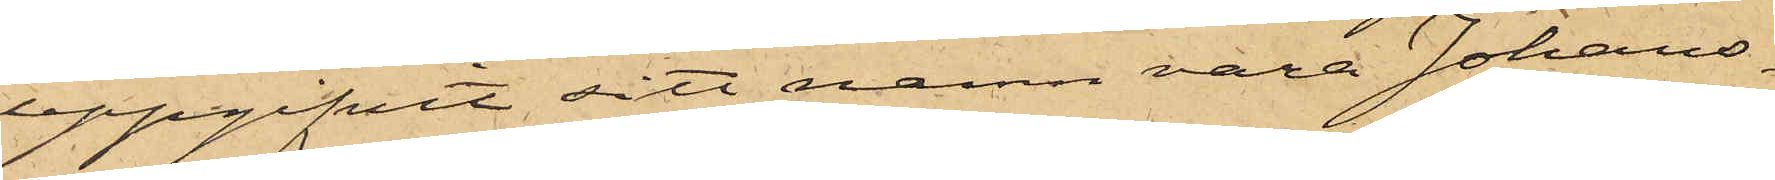uppgifvit sitt namn vara Johans¬
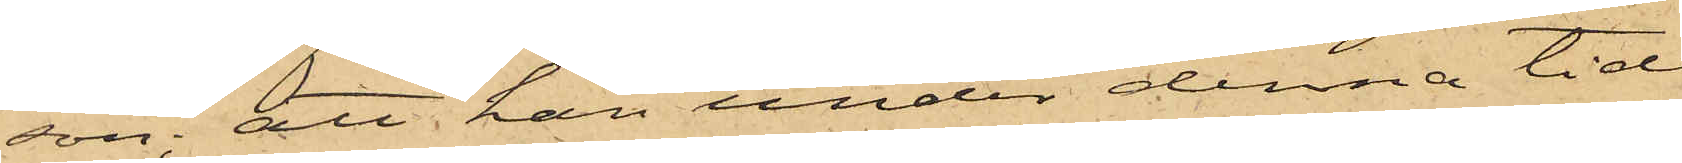son; att han under denna tid
